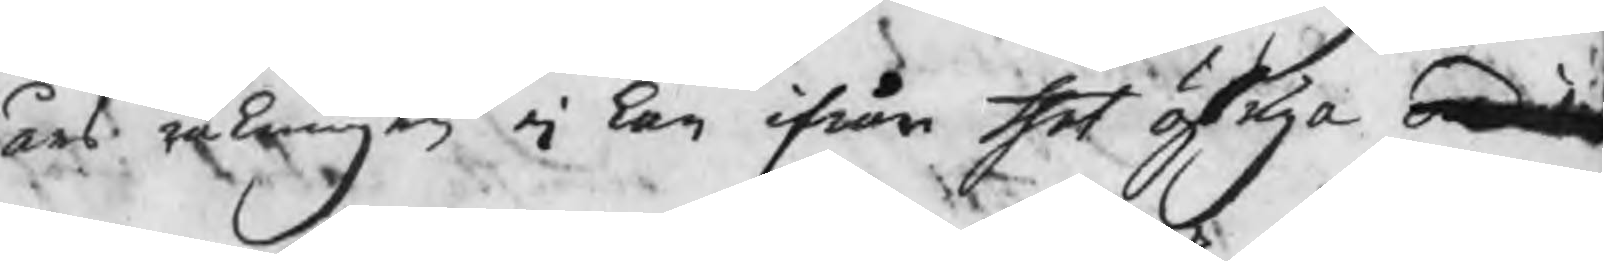års räkningar ej kan ifrån thet öfriga ordina
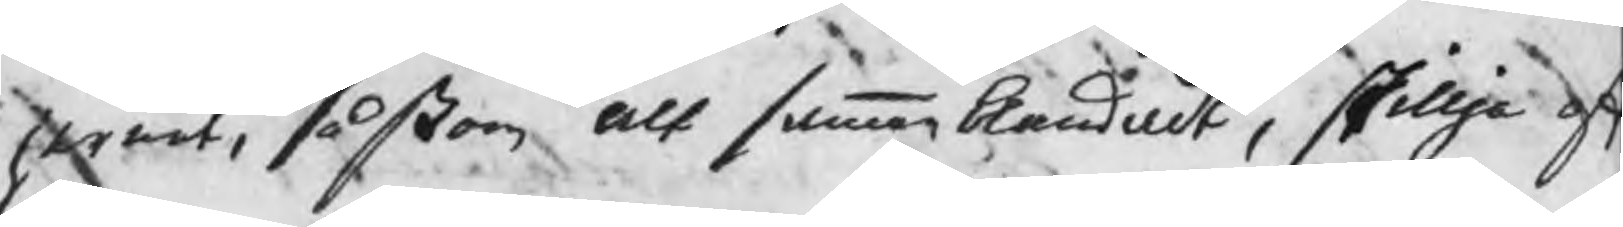jernet, såßom alt sammanblandat, skillja of
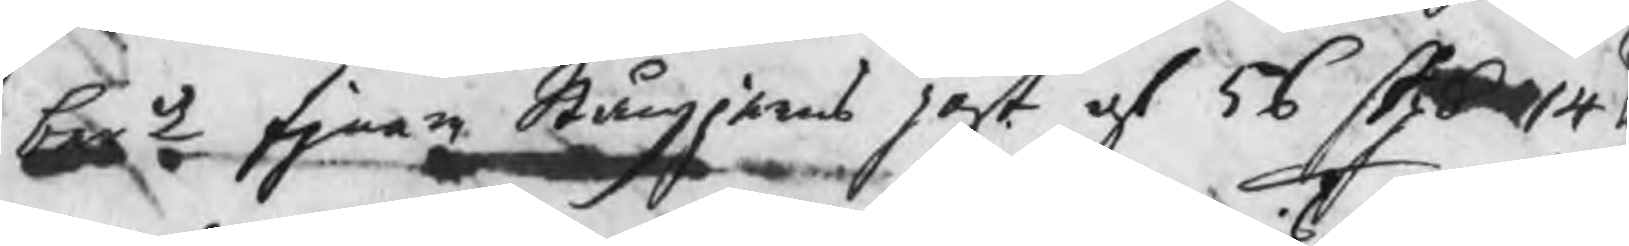berde fjnare Stångjerns post af 56 Skpd 14 l
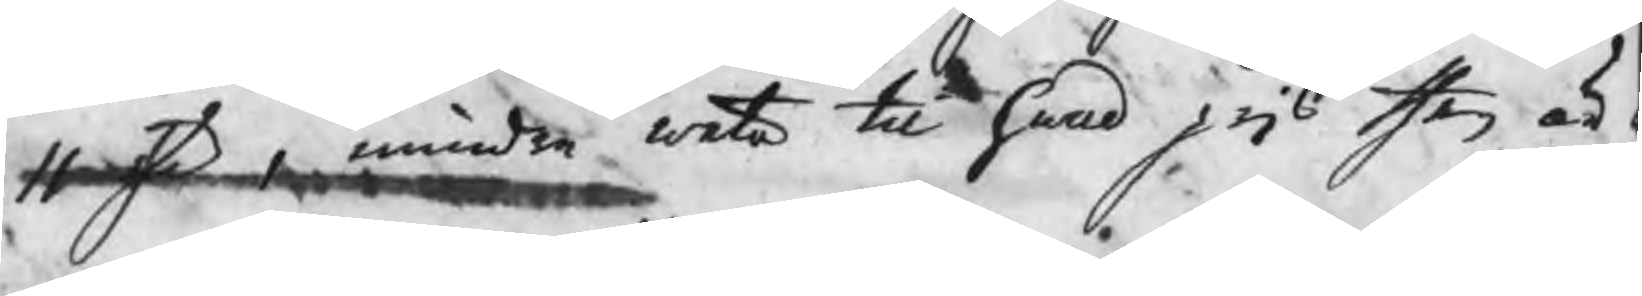11 sp , mindre weta til hwad pris then är
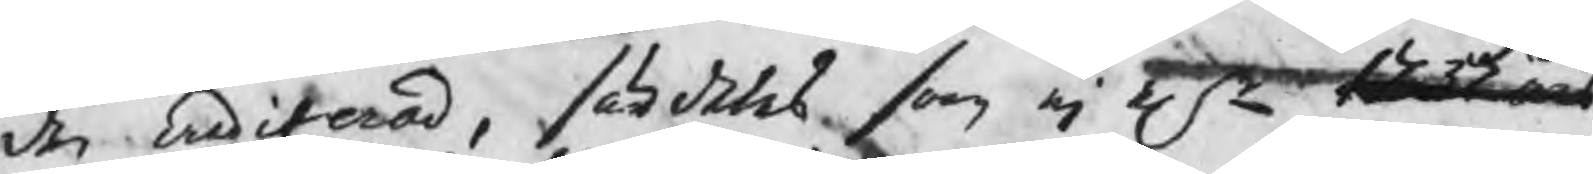den crediterad, särdeles som ej elr 1737 års
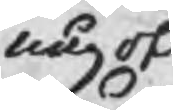något
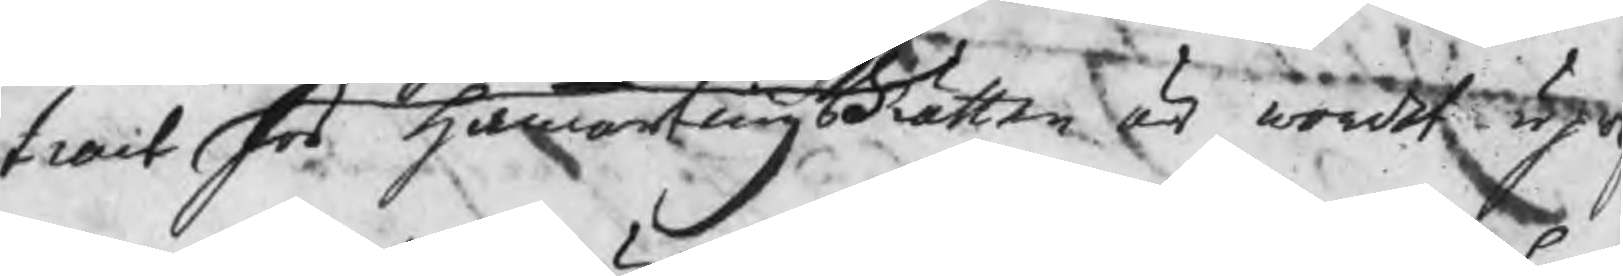tract hos HammartingsRätten är wordet upw
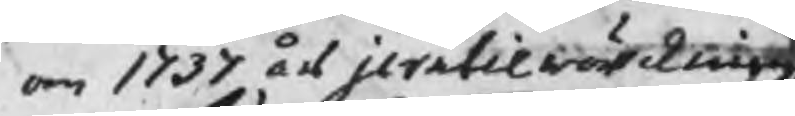om 1737 års jerntilwärckning
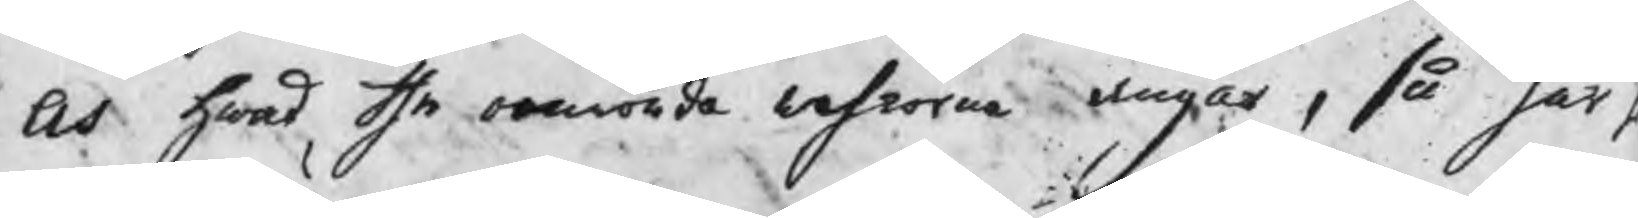Och hwad the omrörde wahrorne angår, så har H
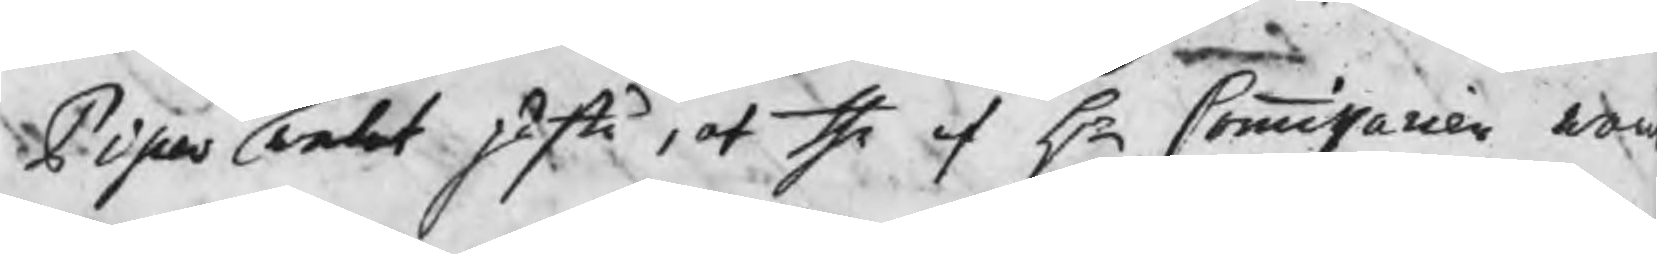Piper welat påstå, at the af Hr Commissarien war
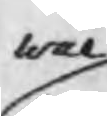wäl
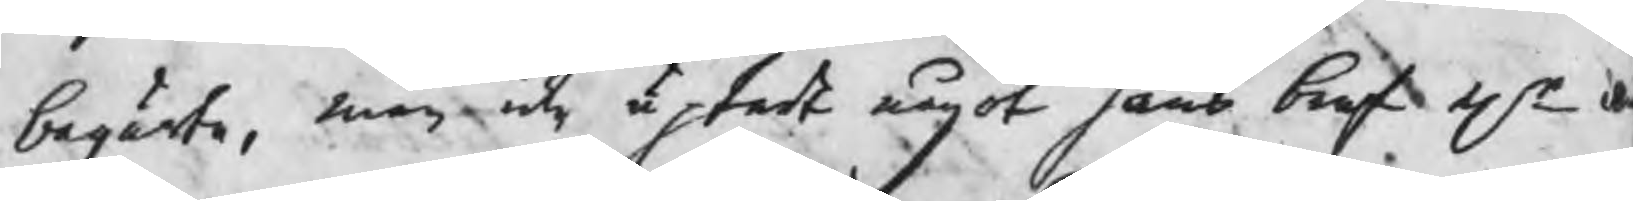begärte, men icke uptedt något hans bref elr a
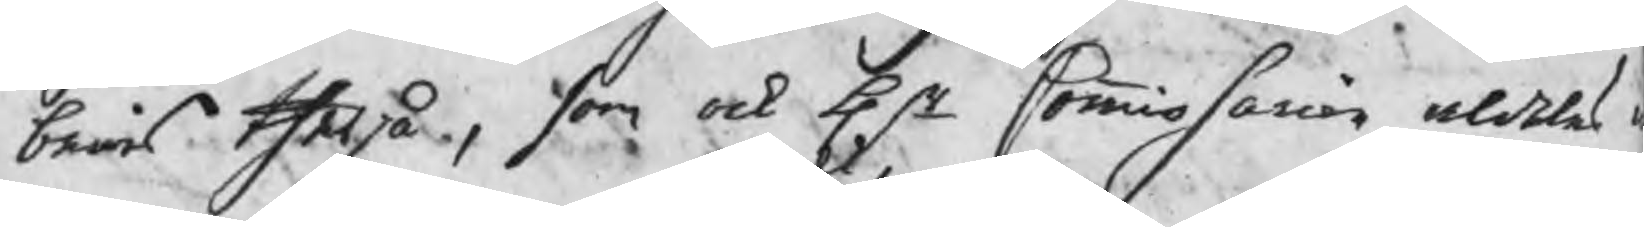bewis therpå, som ock Hr Commissarien aldeles 
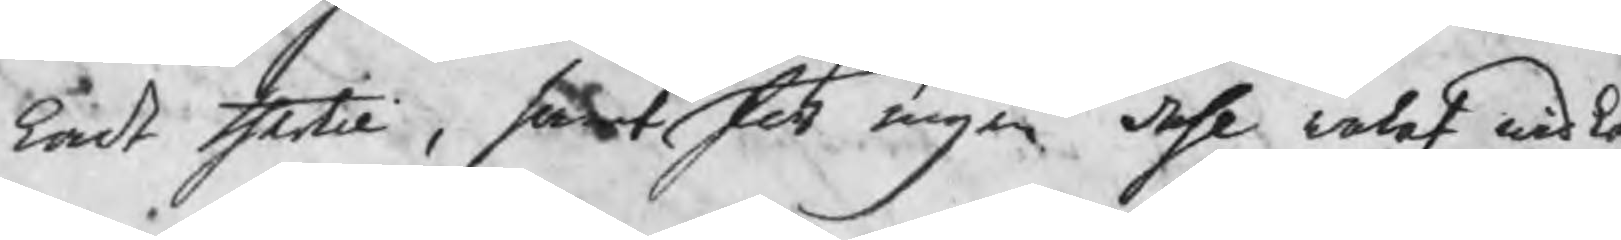kat thertil, samt för ingen dehl welat widk
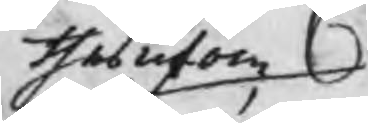thesutom
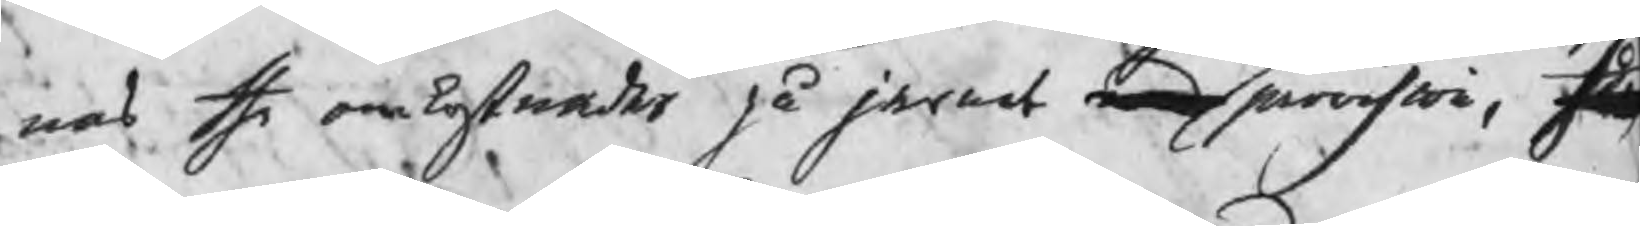nas the omkostnader på jernet med provision, h
